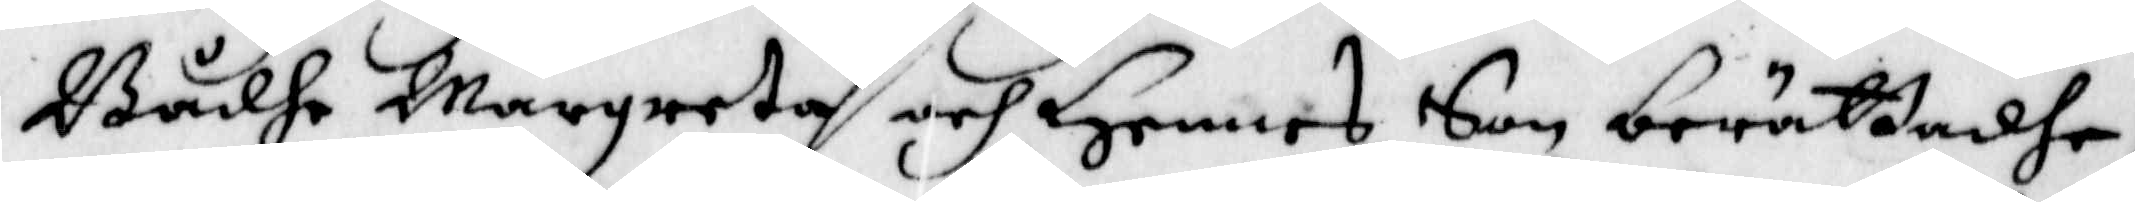Bådhe Margreta och Hennes Son berättadhe,
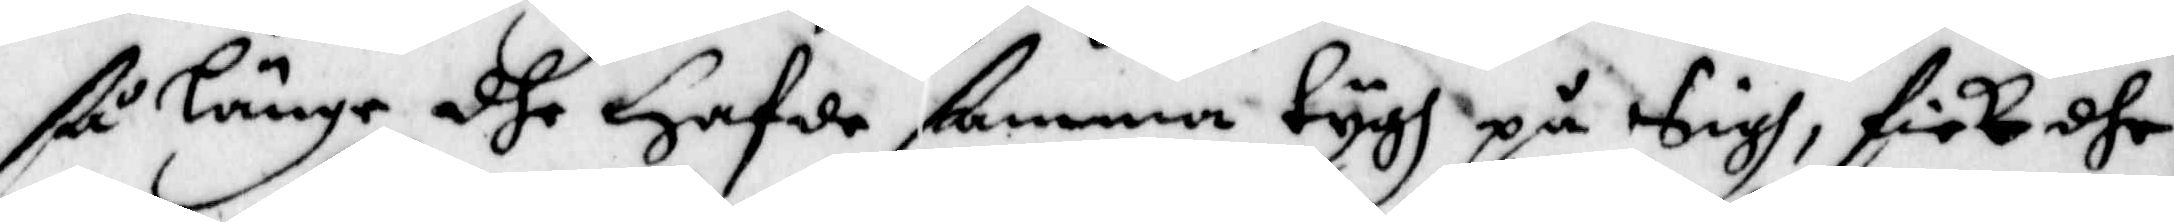så länge dhe Hafde ßamma tygh på Sigh, fick dhe
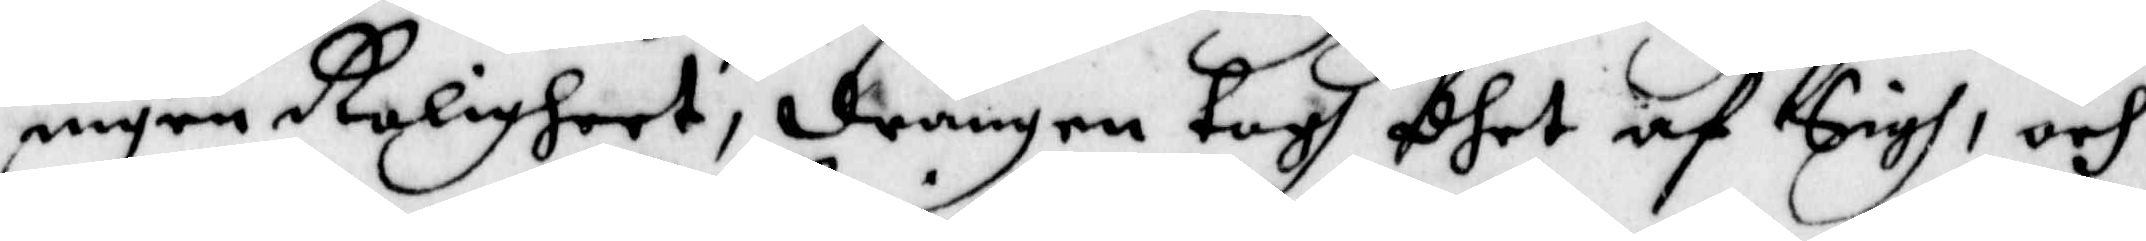ingen Roligheet, drängen togh dhet af Sigh, och
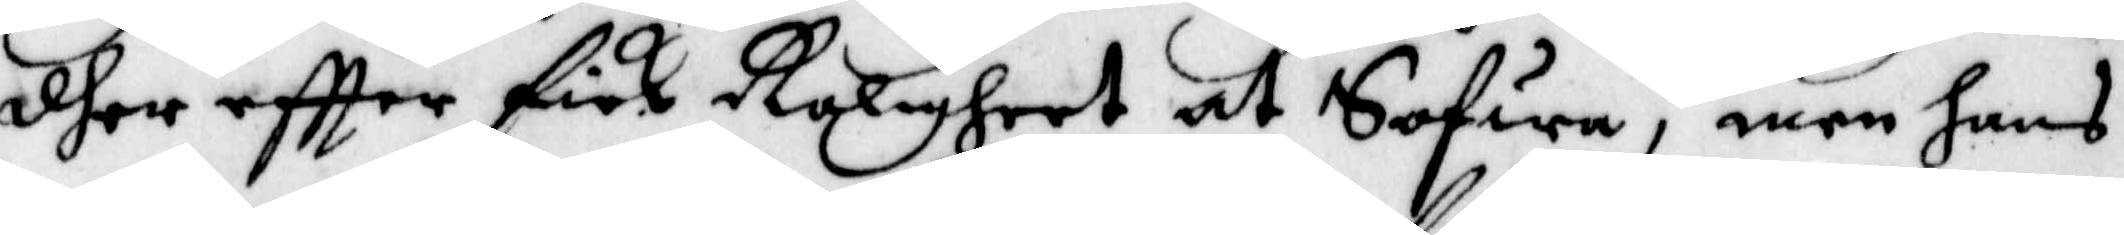dher eftter fick Roligheet at Sofwa, men hans
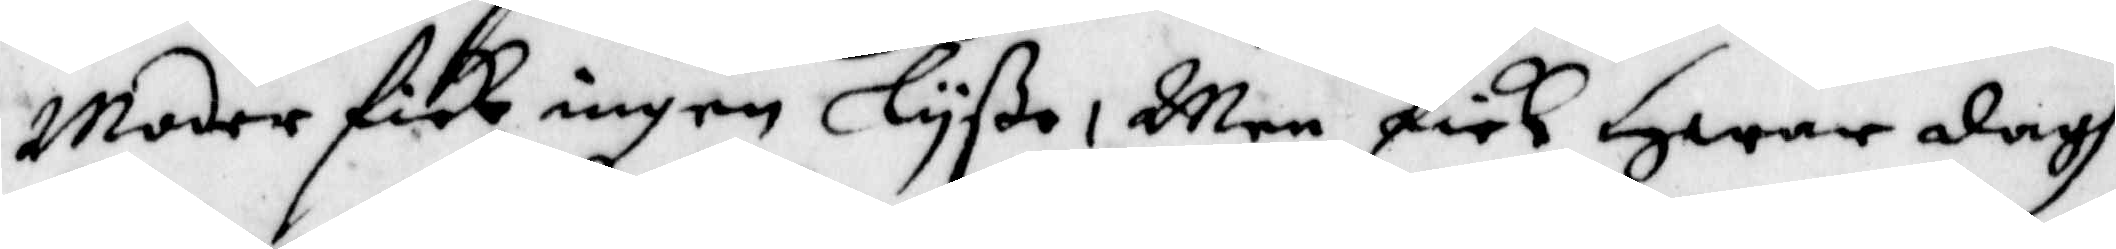Moder fick ingen Lyßa, Men fick Hwar dagh
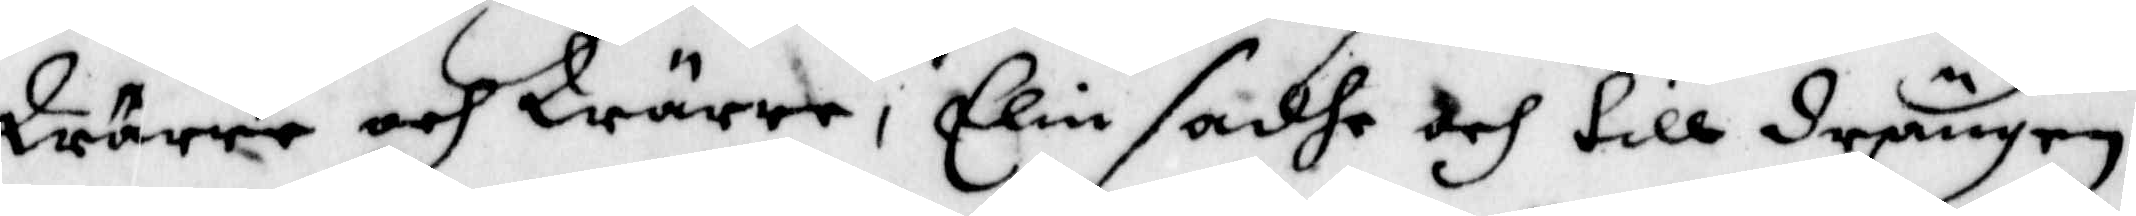Wärre och Wärre, Elin sadhe och till drängen,
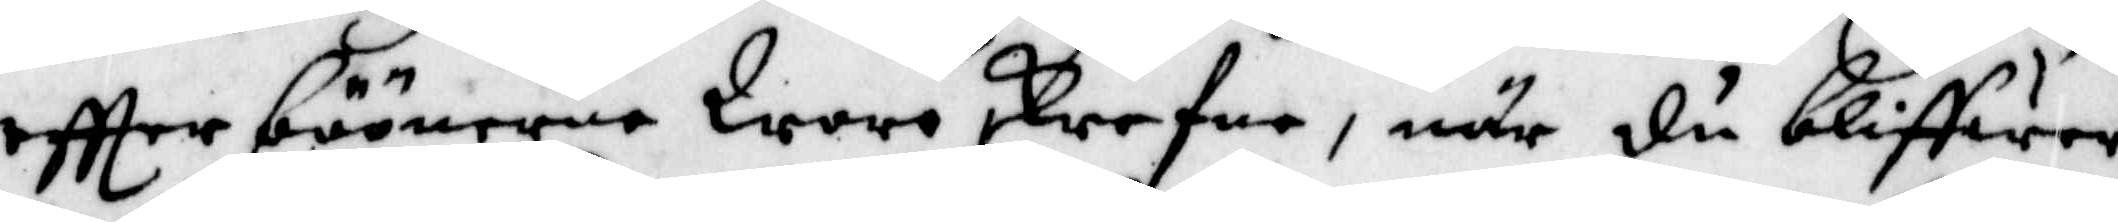eftter böönerne Woro skrefne, när du bliffwer
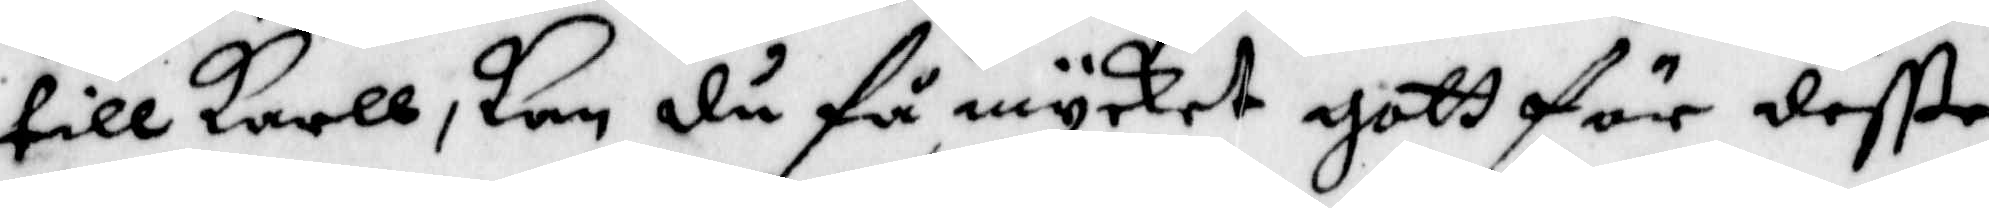till karll, kan du få mycket gott för deßße
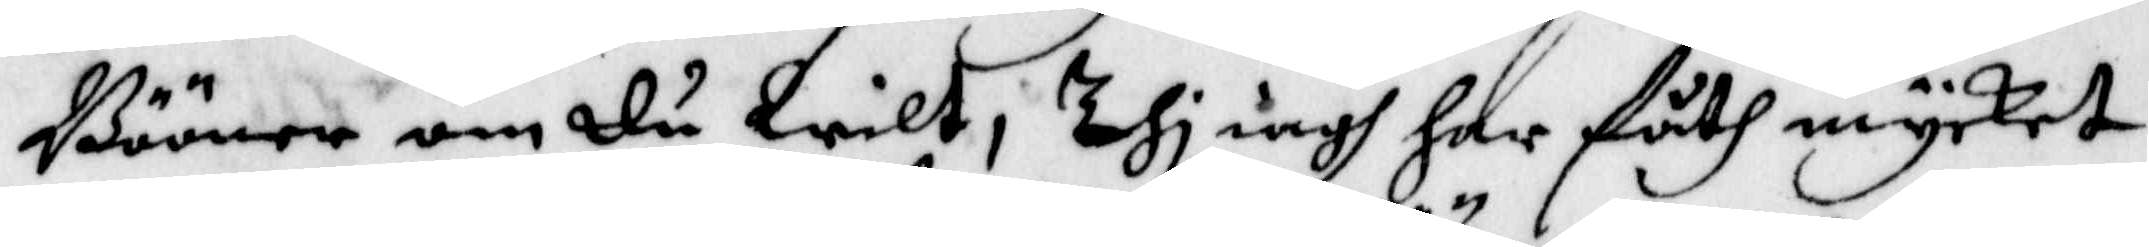Bööner om du Wilt, Thi iagh har fåth mycket
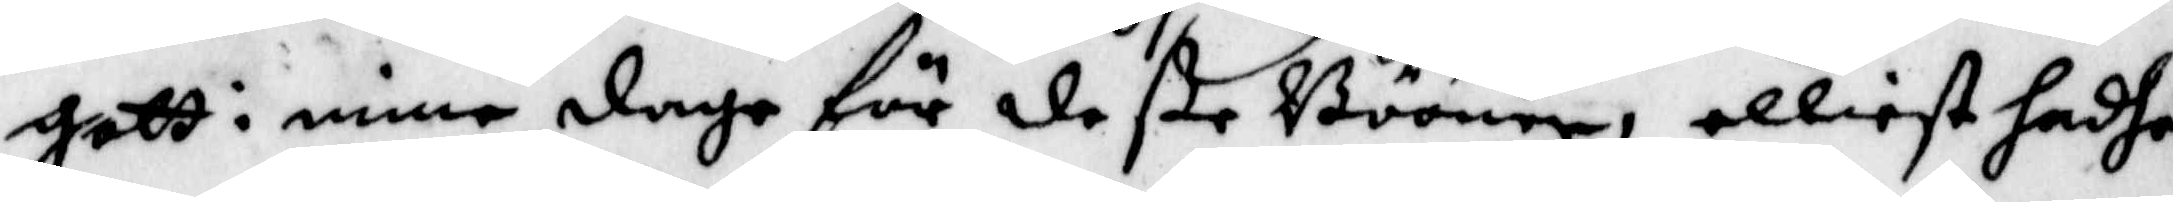gott i mine dage för deße Bööner, elliest hadhe
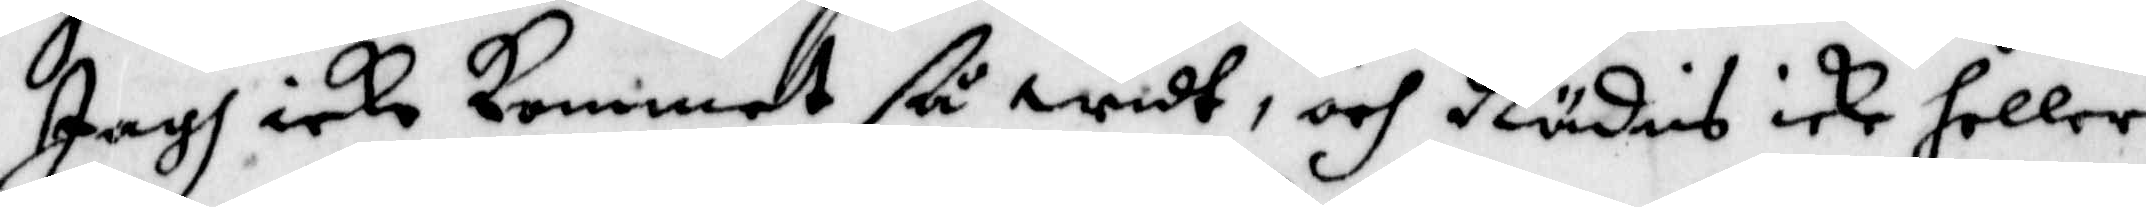Jagh icke kommit så widt, och Rädies icke heller
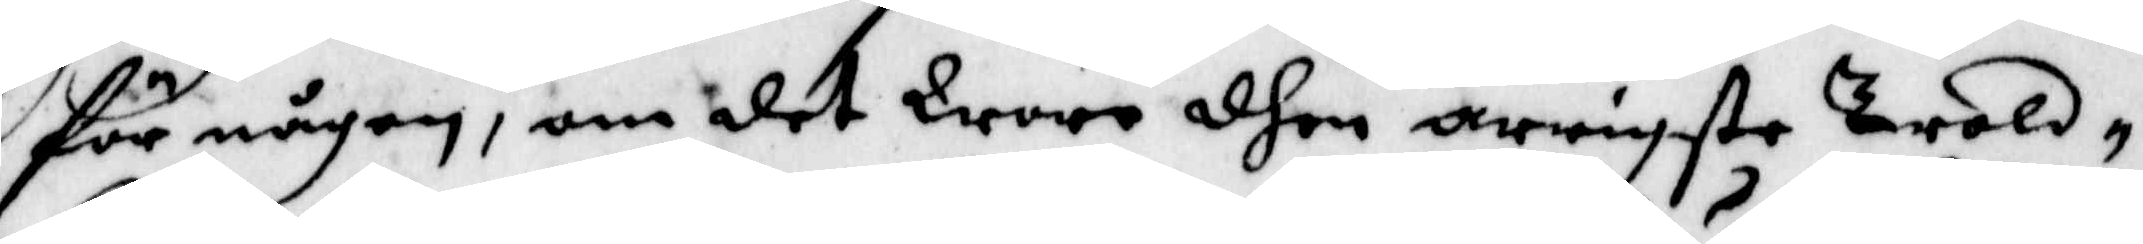för någon, om det Wore dhem arrigste trold¬
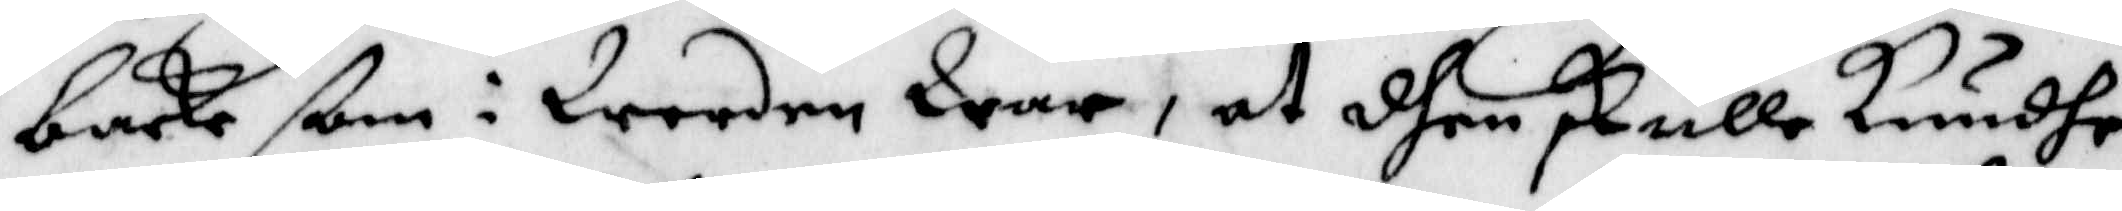backe ßom i Werden War, at dhen skulle kundhe
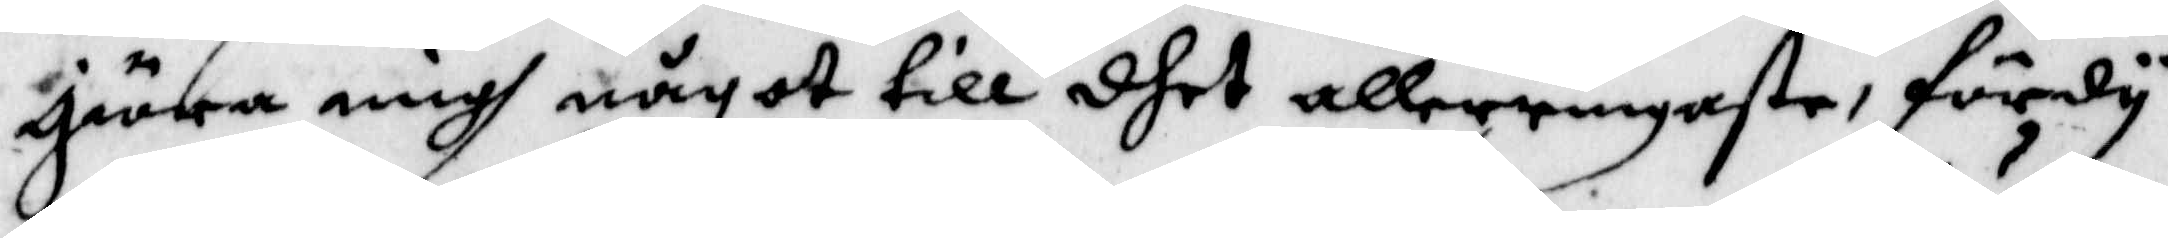giöra migh någott till dhet allerringaste, fördy
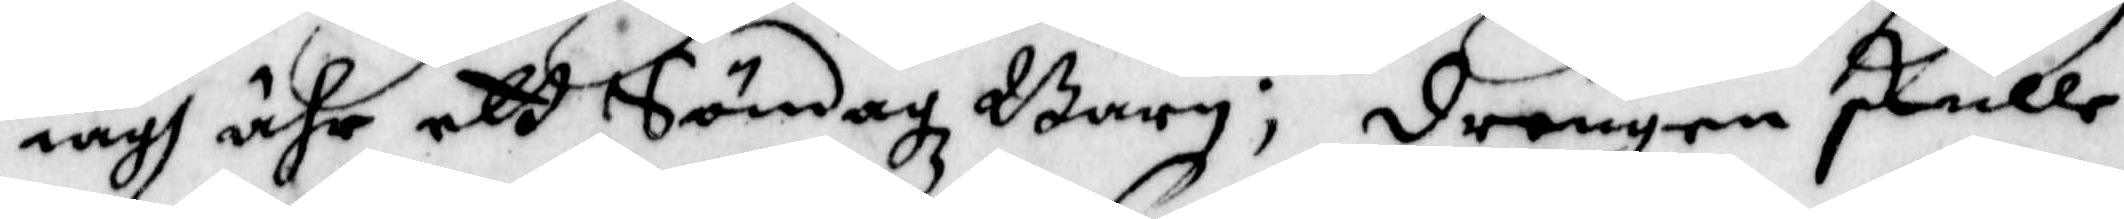iagh ähr ett Söndagz Barn; drengen skulle
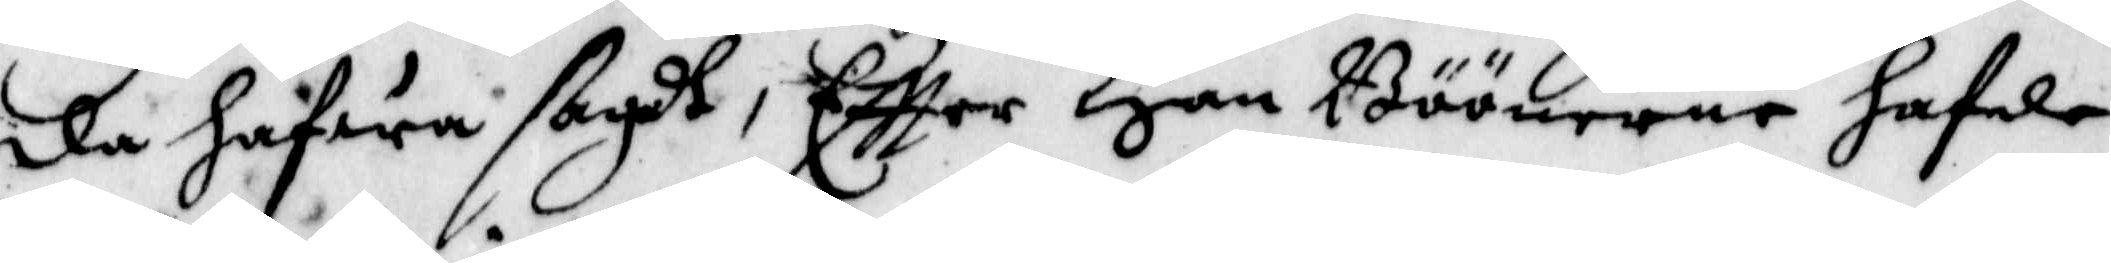da hafwa sagdt, eftter Han Böönerne hafde
